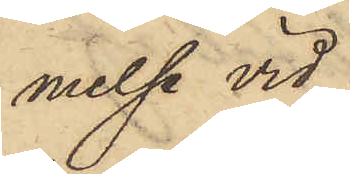melse vid
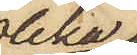olika
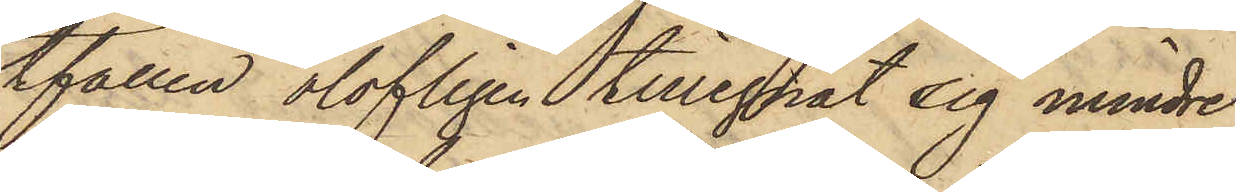tfällen olofligen tillegnat sig mindre
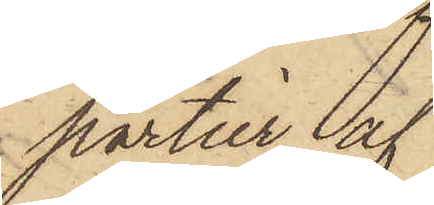partier af
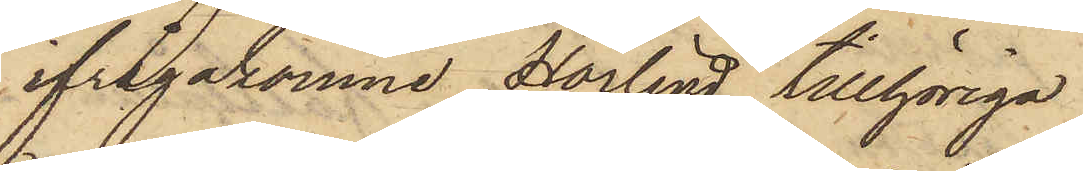ifrågakomne Hörlind tillhöriga
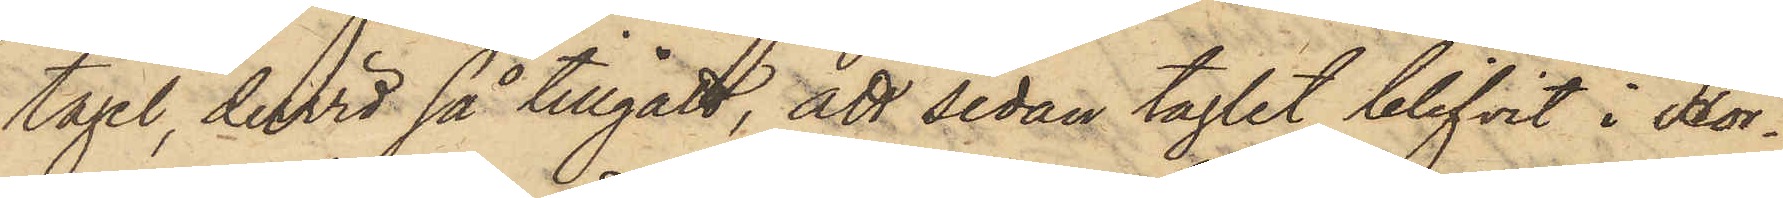tagel, dervid så tillgått, att sedan taglet blifvit i Hör¬
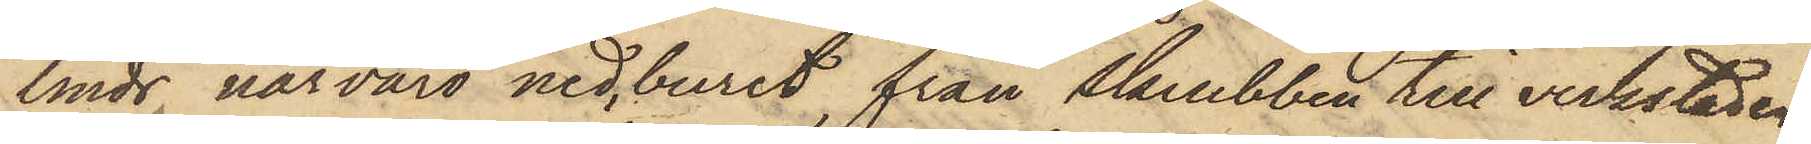linds närvaro nedburit från skrubben till verkstaden,
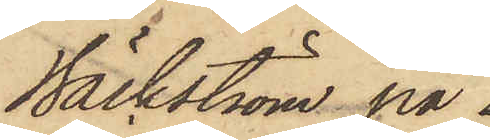Bäckström på
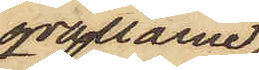qvällarne
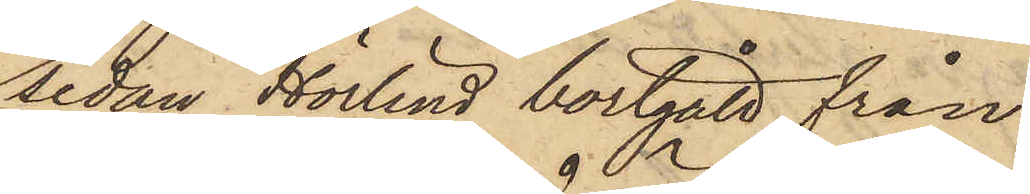sedan Hörlind bortgått från
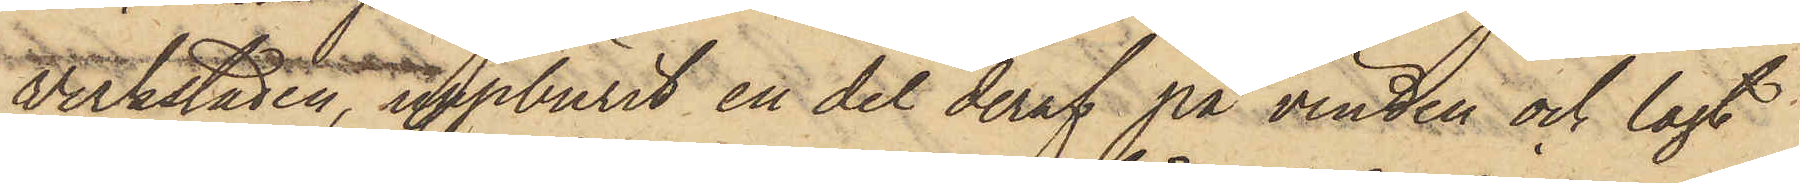verkstaden, uppburit en del deraf på vinden och lagt
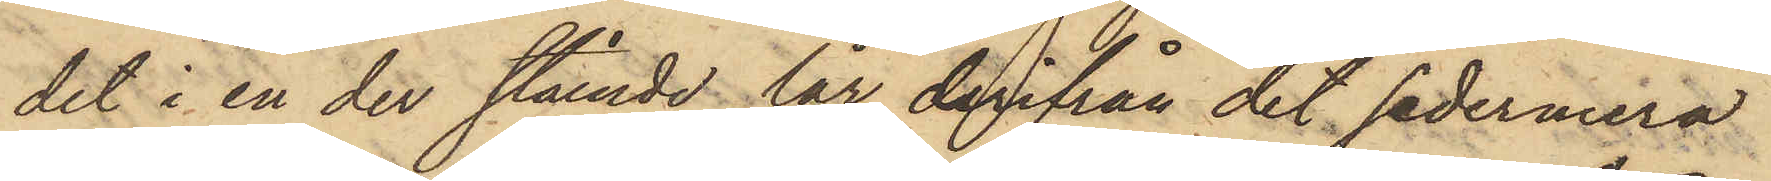det i en der stående lår, derifrån det sedermera
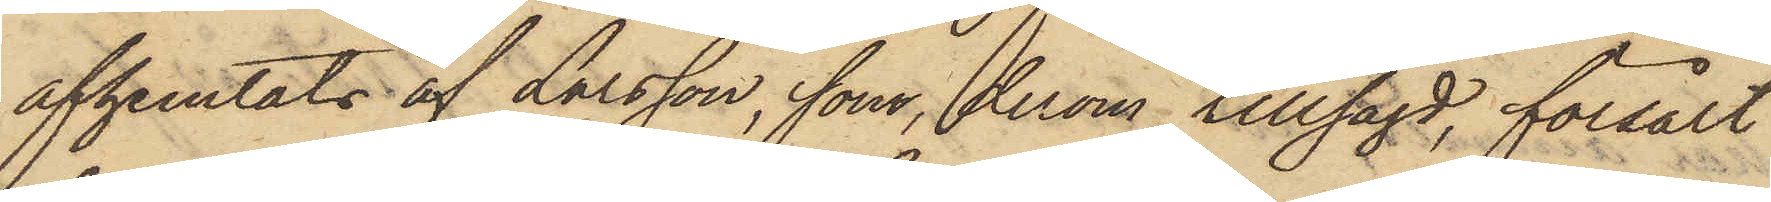afhemtats af Larsson, som, derom tillsagd, försålt
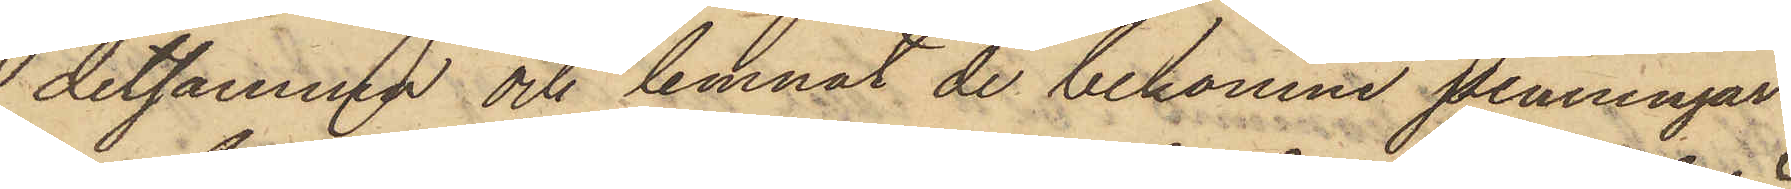detsamma och lemnat de bekomne penningar¬
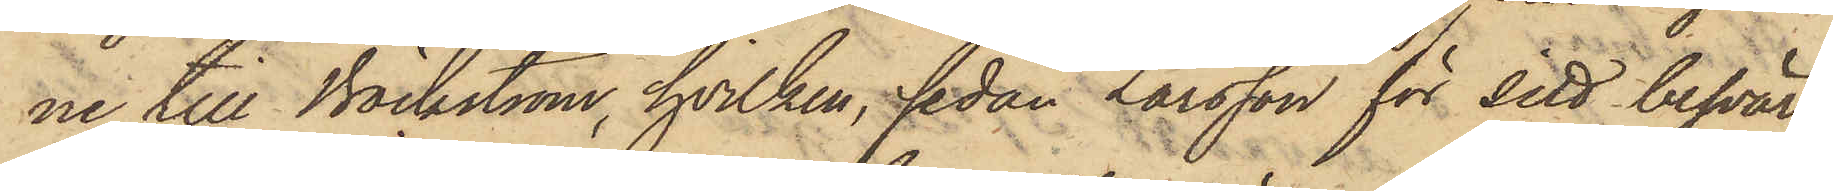ne till Bäckström, hvilken, sedan Larsson för sitt besvär
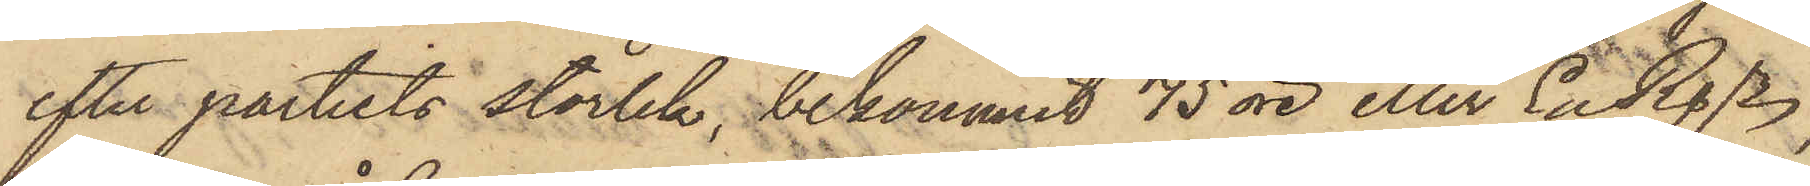efter partiets storlek, bekommit 75 öre eller En Rgr,
